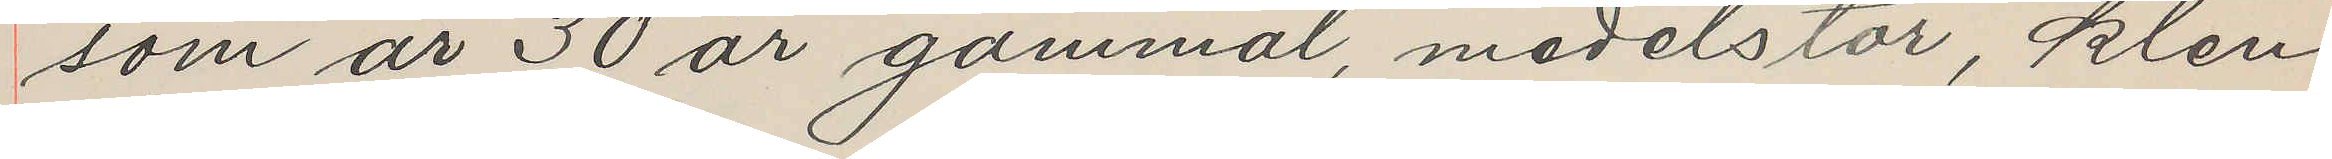som år 30 år gammal, medelstor, klen
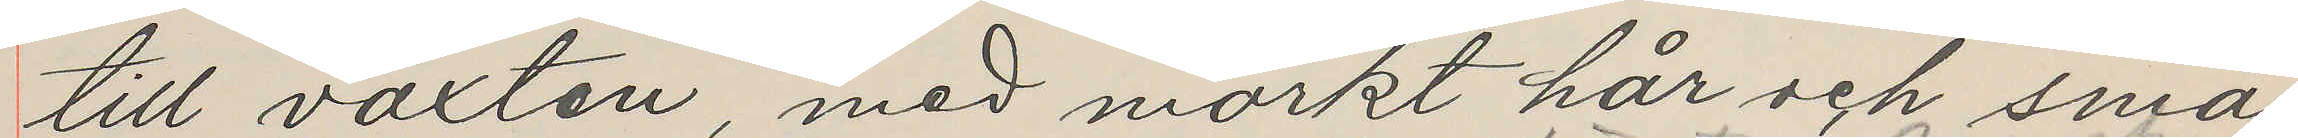till växten, med mörkt hår och små
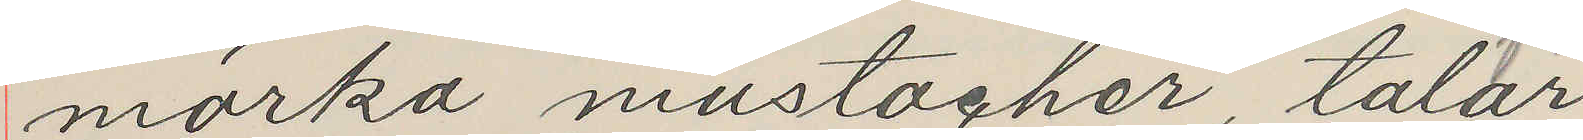mörka mustacher, talar
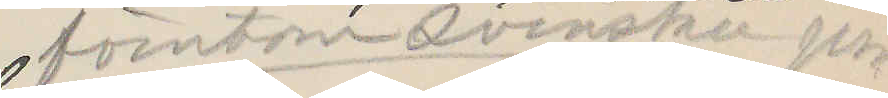förutom svenska jäm¬
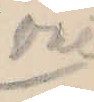väl
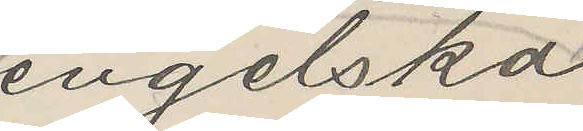engelska
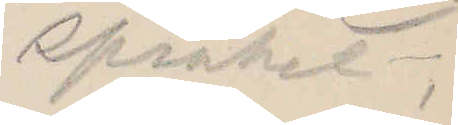språket,
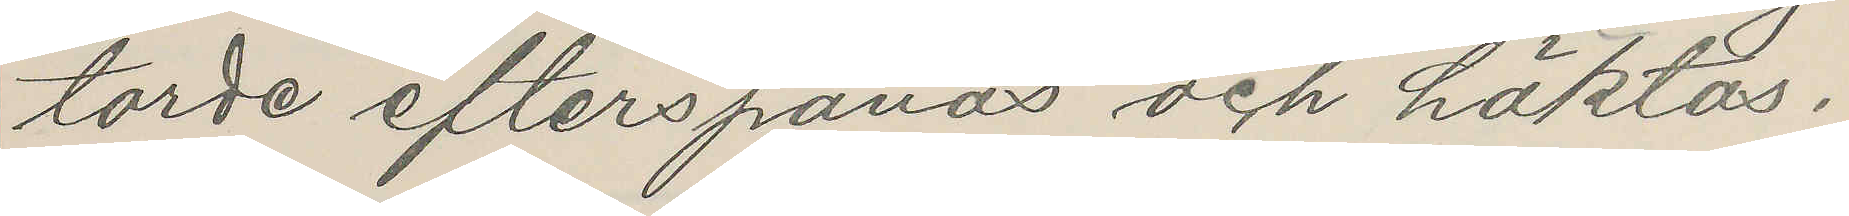torde efterspanas och häktas.
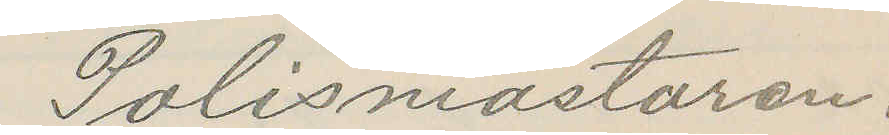Polismästaren.
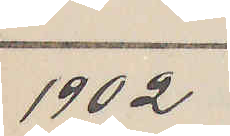1902
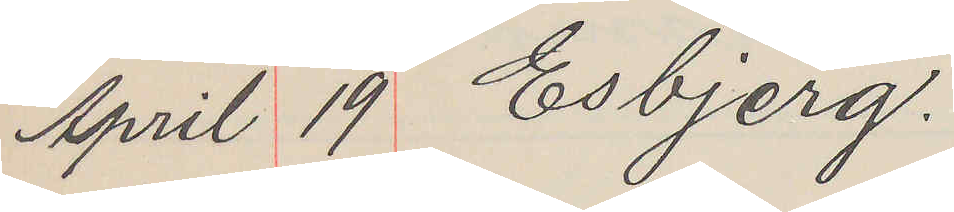April 19 Esbjerg.
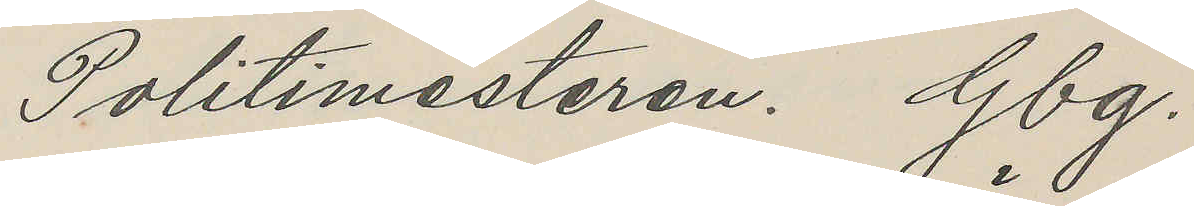Politimesteren. Gbg.
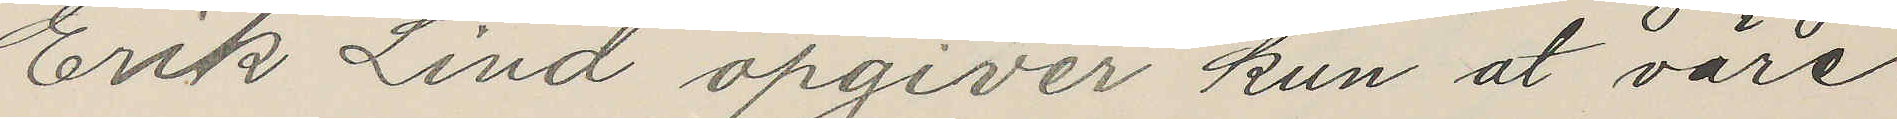Erik Lind opgiver kun at väre
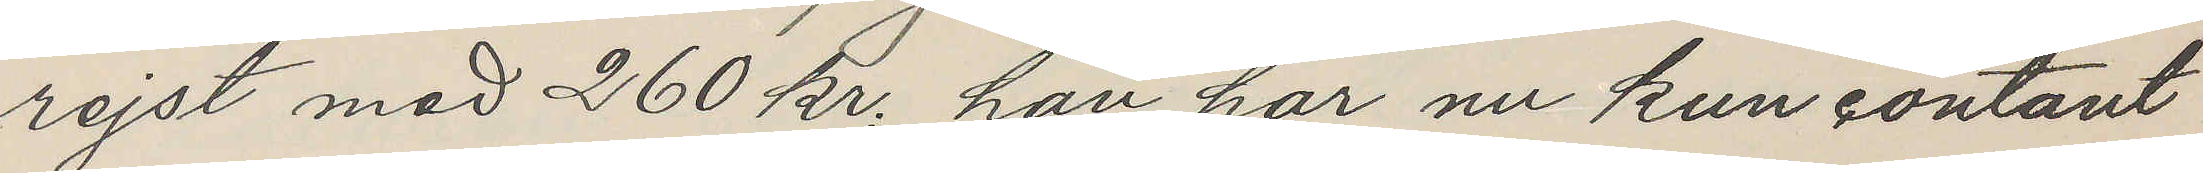rejst med 260 kr, han har nu kun contant
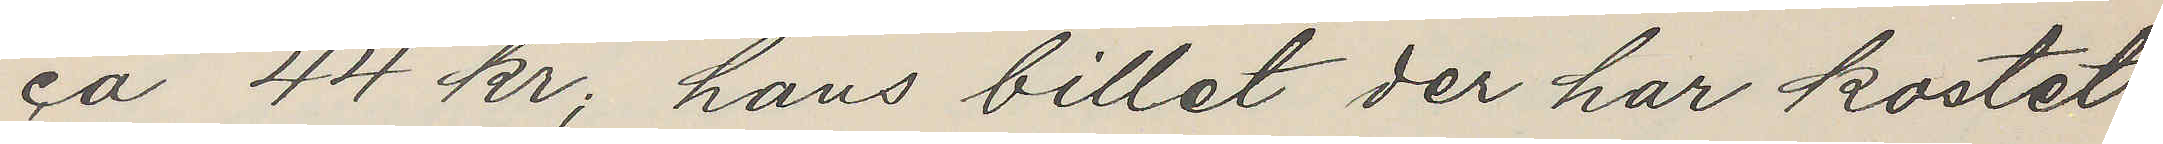ca 44 kr; hans billet der har kostet
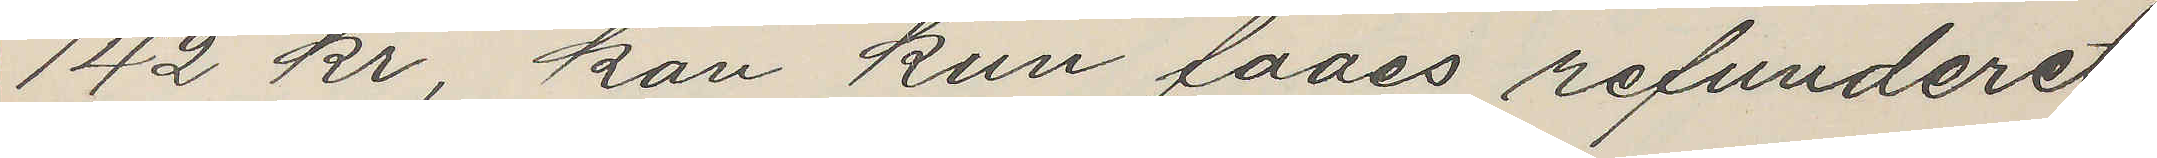142 kr, kan kun faaes refunderet
